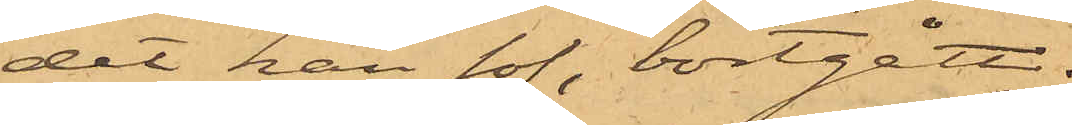det han sof, bortgått.
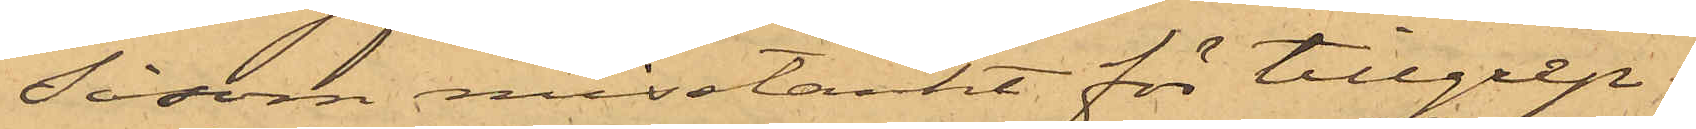Såsom misstänkt för tillgrep¬
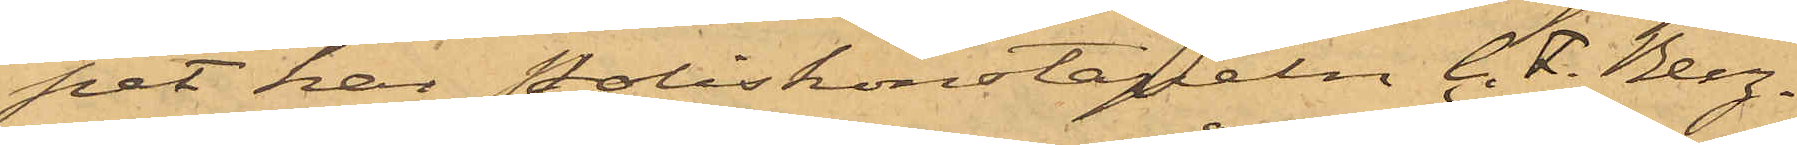pet har Poliskonstapeln C. F. Berg¬
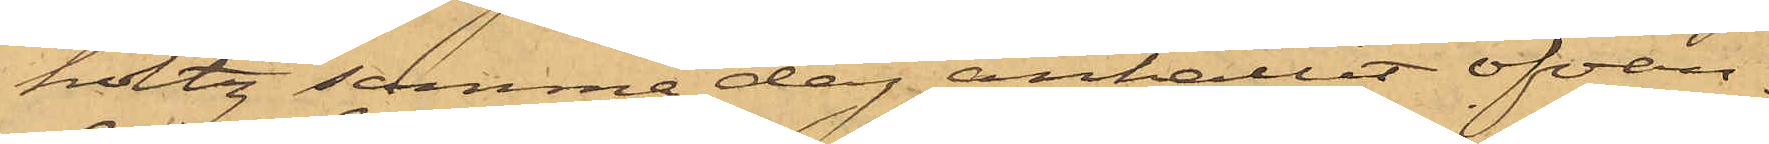holtz samma dag anhållit ofvan¬
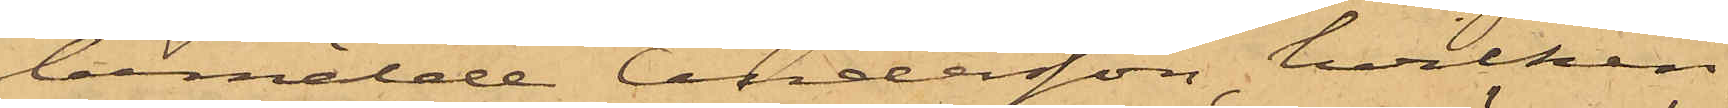bemälde Andersson, hvilken
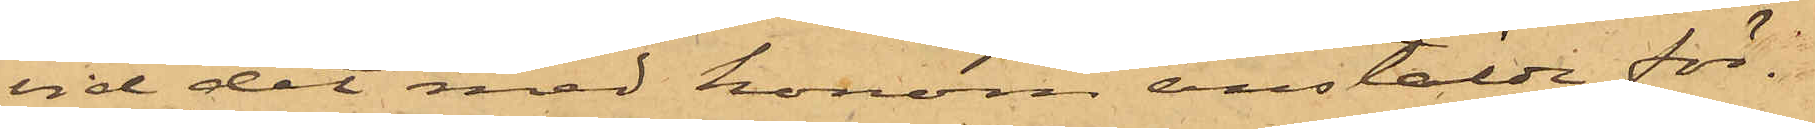vid det med honom anstälde för¬
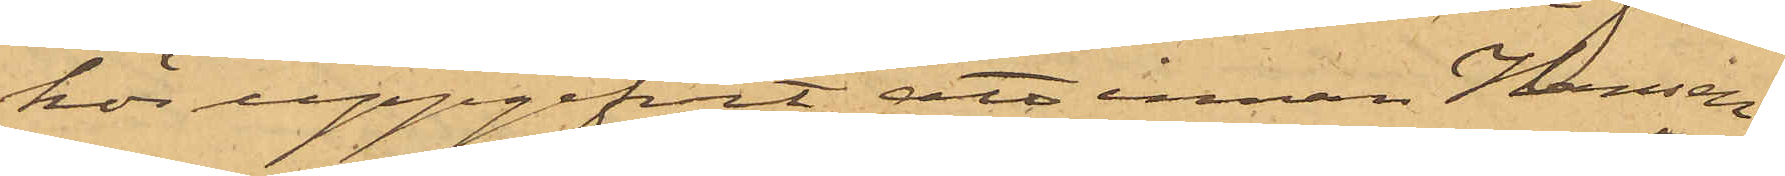hos uppgifvit, att innan Hansen
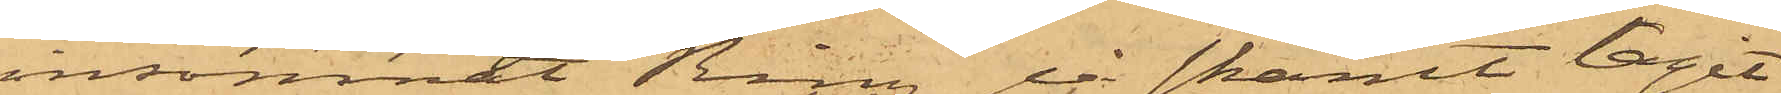insomnat Ring å skämt tagit
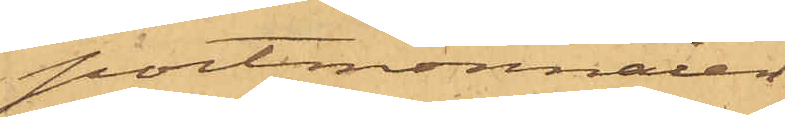portmonnaien
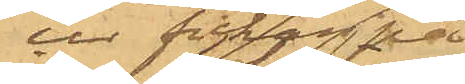en fickan på
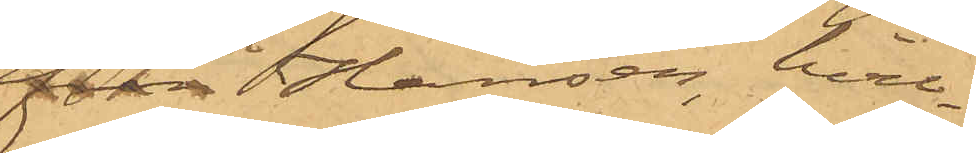från Hansen, hvil¬
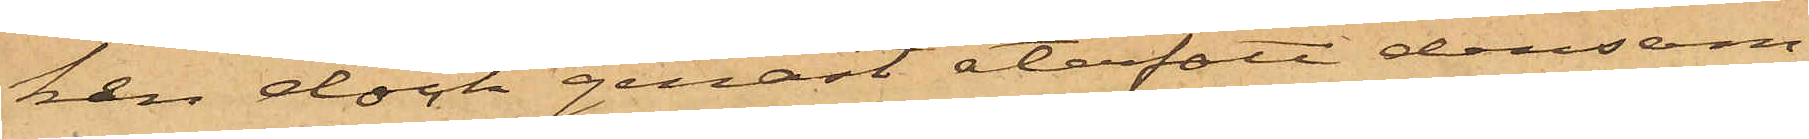ken dock genast återfått densam¬
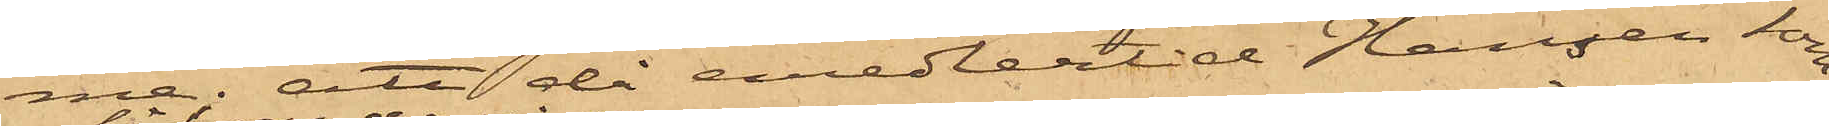me; att då emedlertid Hansen som¬
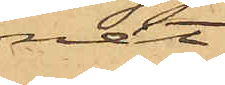nat,
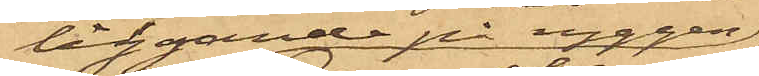liggande på ryggen,
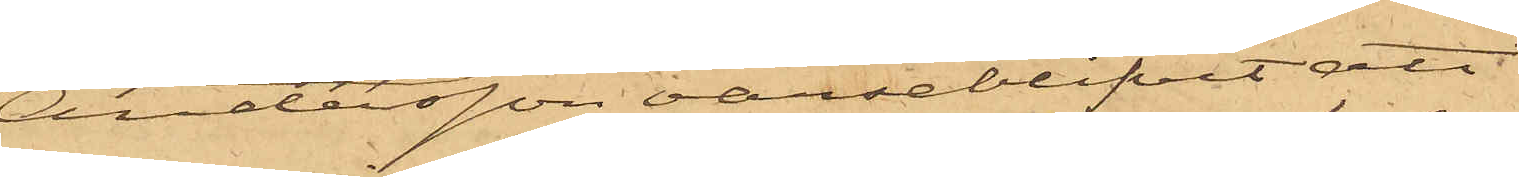Andersson varseblifvit att
